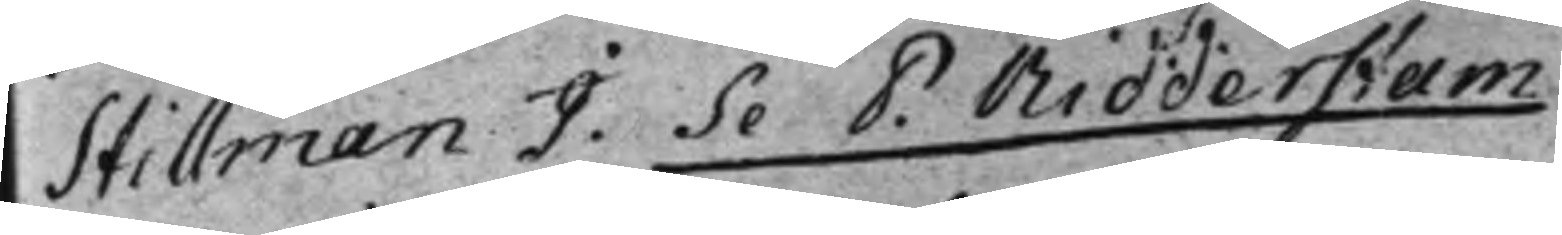Stillman J. Se P. Ridderstam.
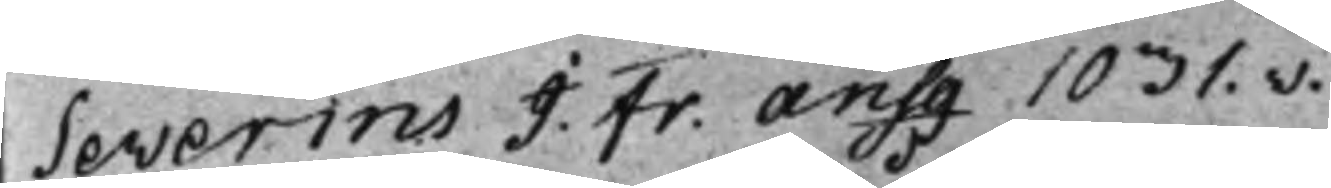Severins J. Fr. ansg 1031.v.
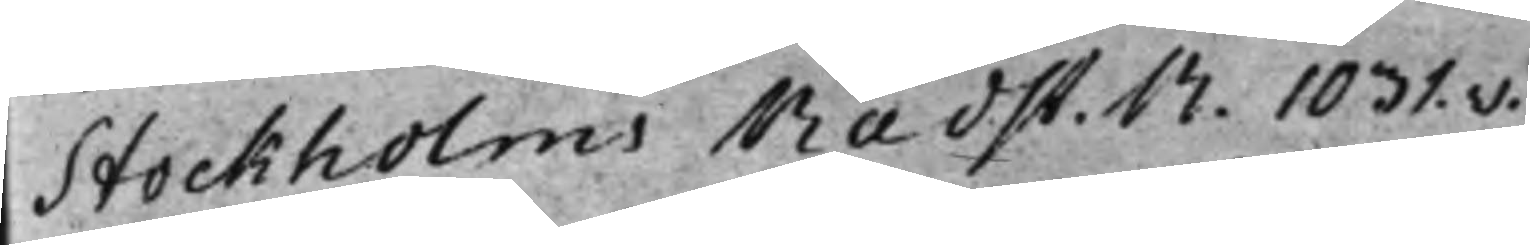Stockholms Rådst. R. 1031.v.
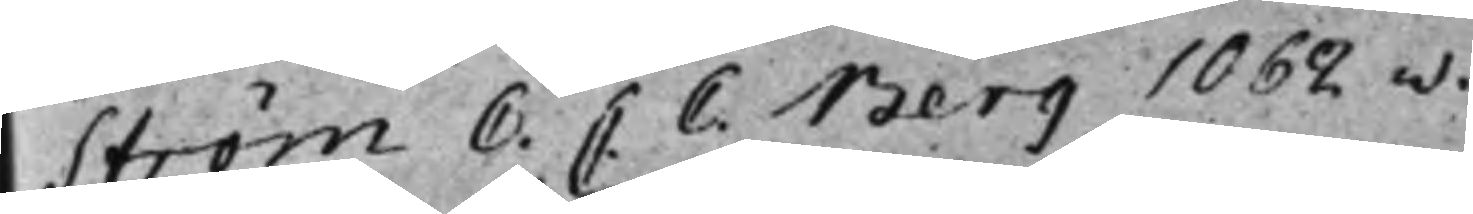Ström C. C. C. Berg 1062.v.
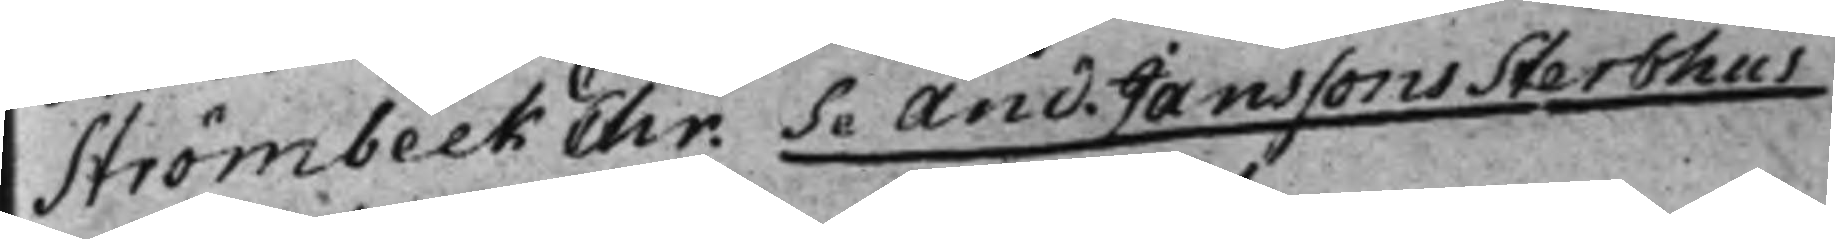Strömbeck Chr. Se And. Janssons Sterbhus
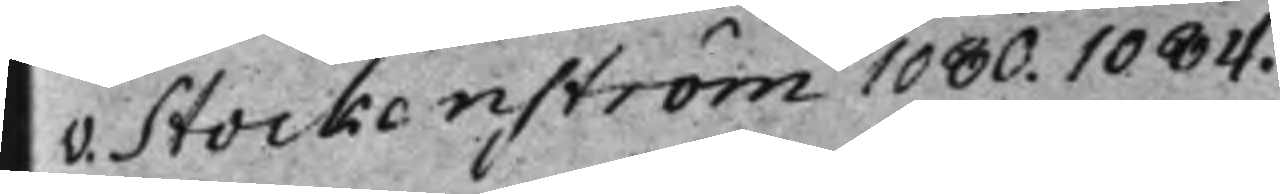v. Stockenström 1080. 1084.
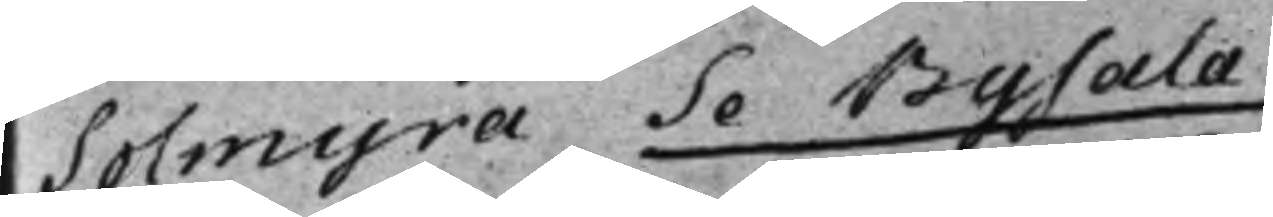Solmyra Se Bysala
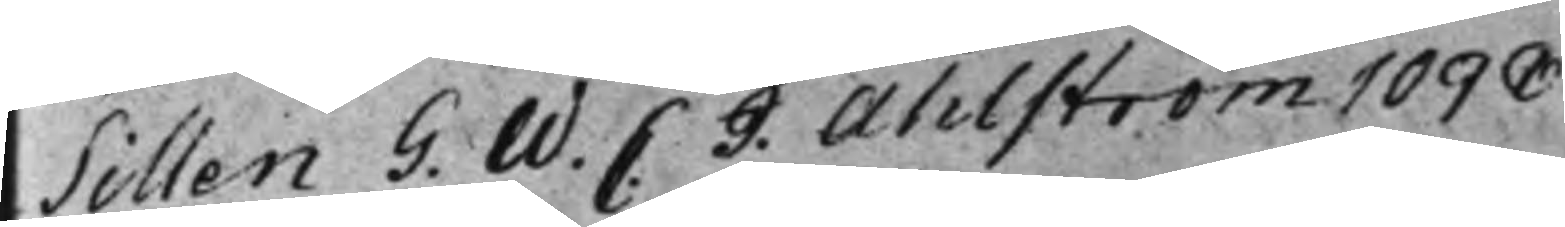Sillen G. W. C. J: Ahlström 1098.
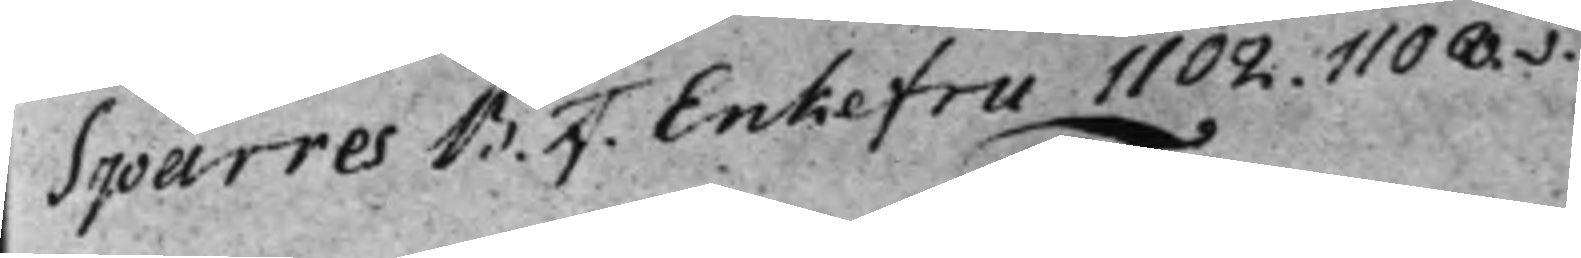Sparres B. F. Enkefru 1102. 1108.v.
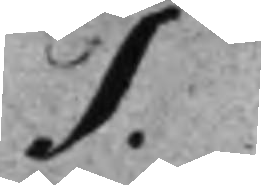T.
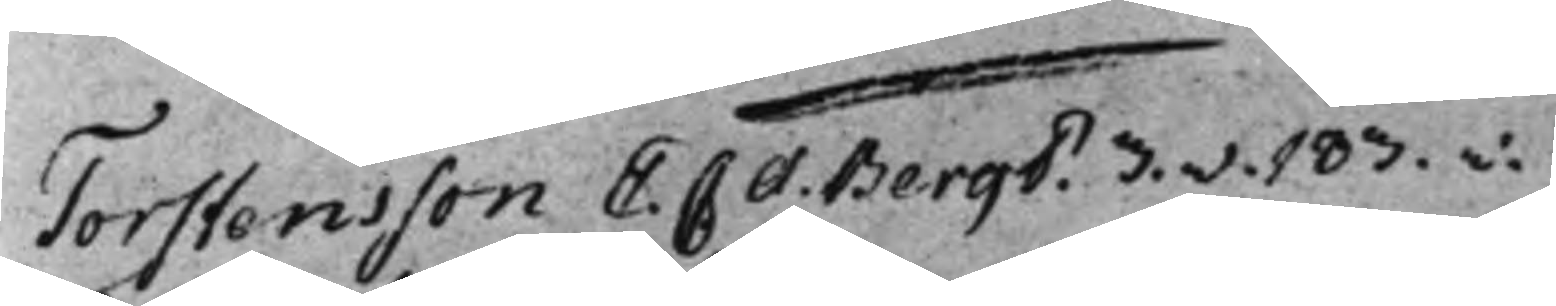Torstensson E. C A. Bergö 3.v. 183.v.
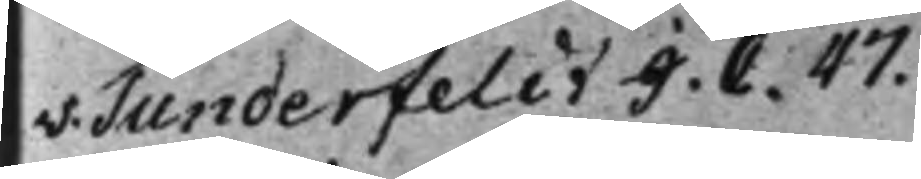v. Tunderfeldt J. C. 47.
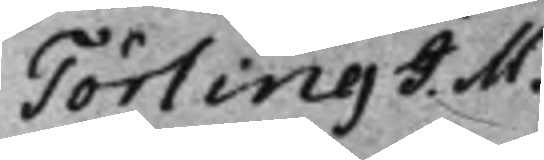Törling J. M.
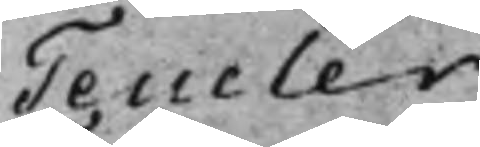Teucler.
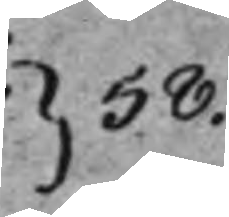} 58.
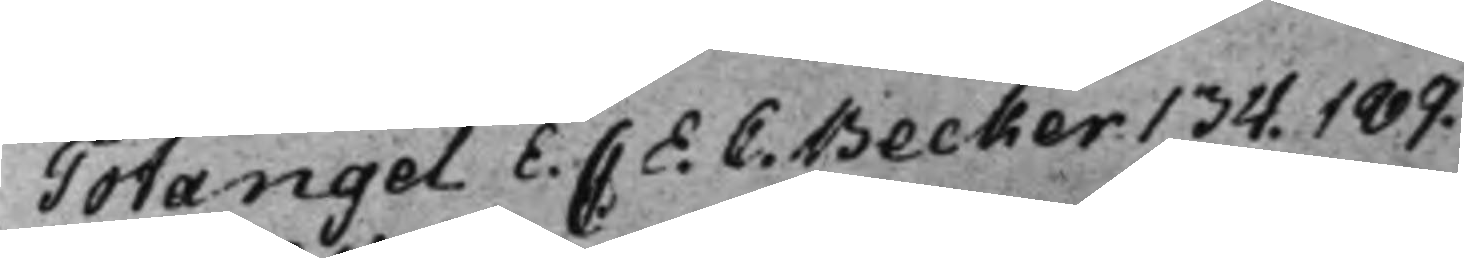Totangel E. C.  E.C. Becker 134. 189.
